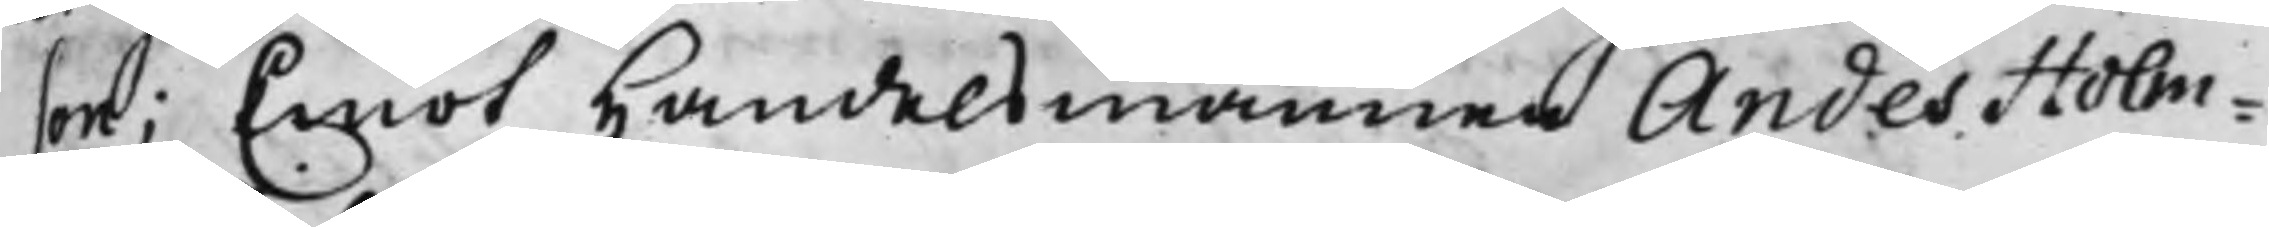on; Emot Handelsmannen Andes Holm¬
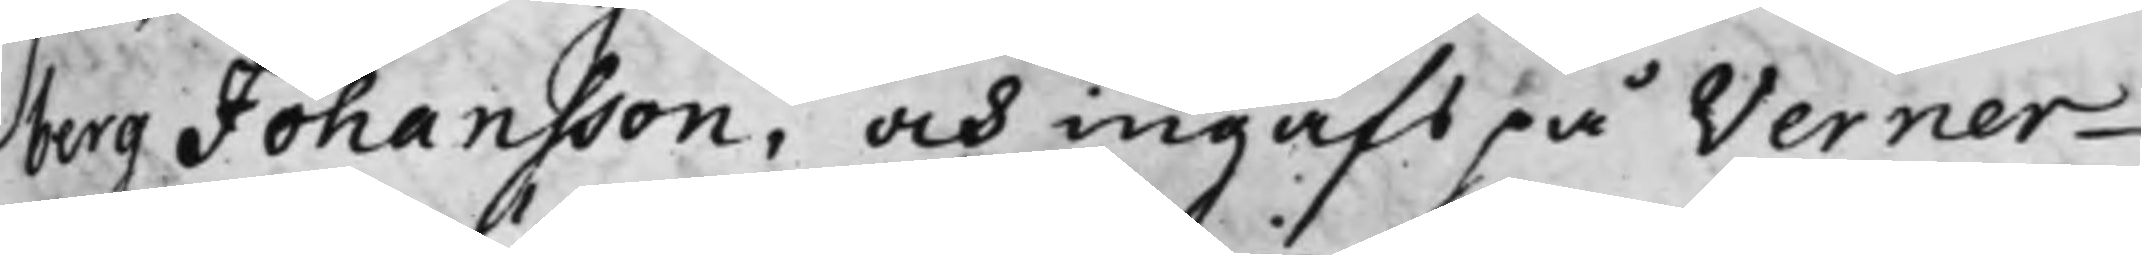berg Johansson, och ingafs på Verner
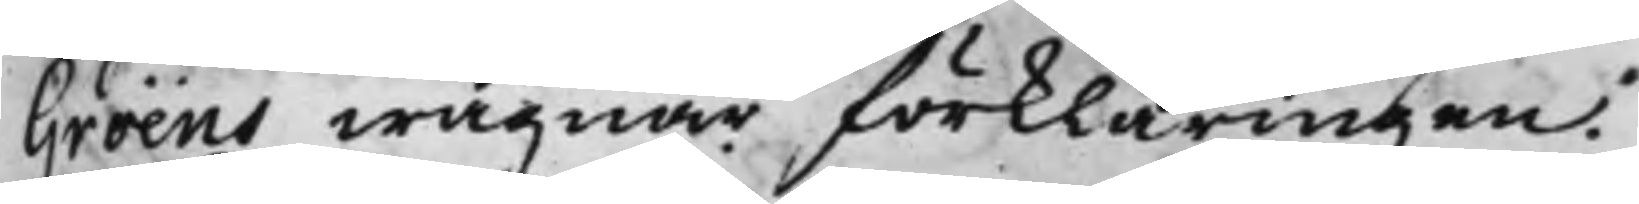Gröens wägnar förklaringen.
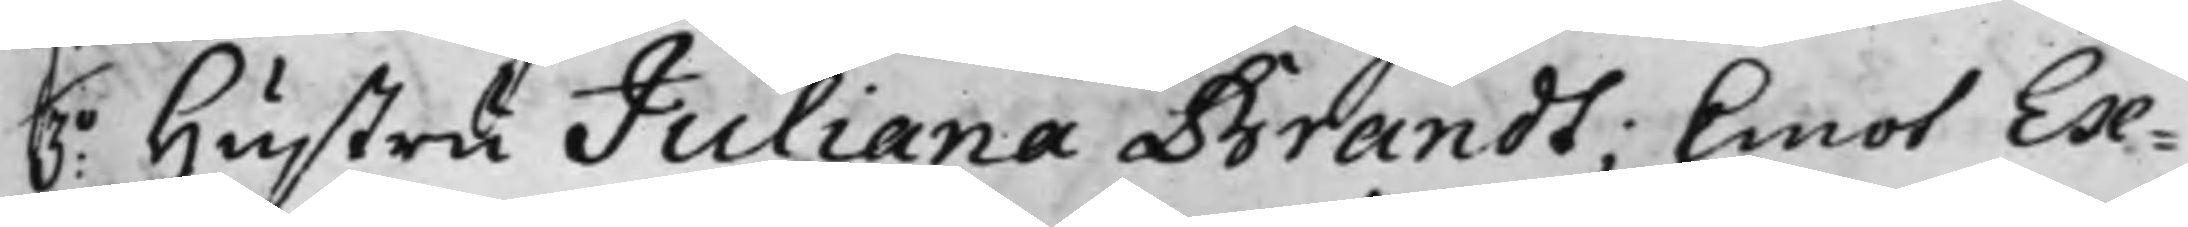3o Hustru Juliana Brandt; Emot Ex¬
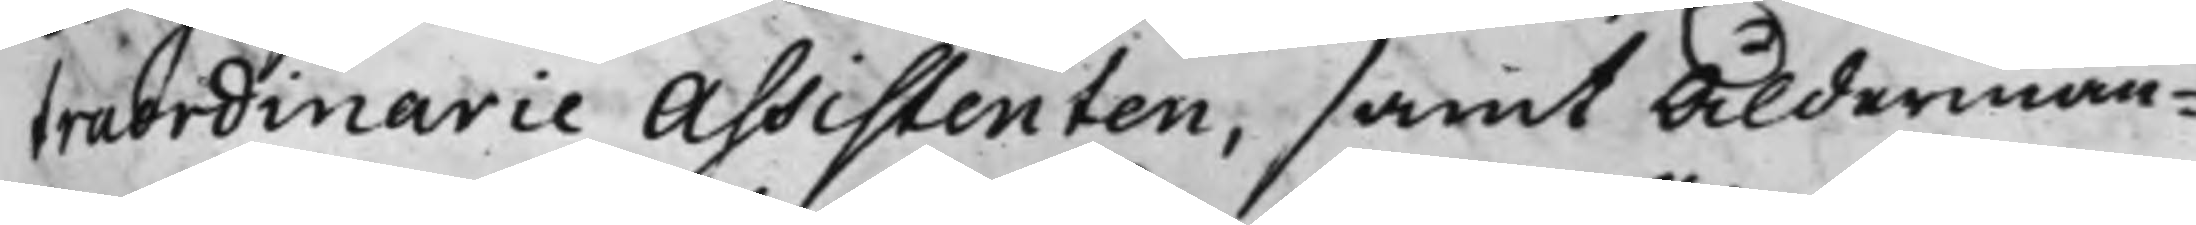traordinarie Assistenten, samt Alderman¬
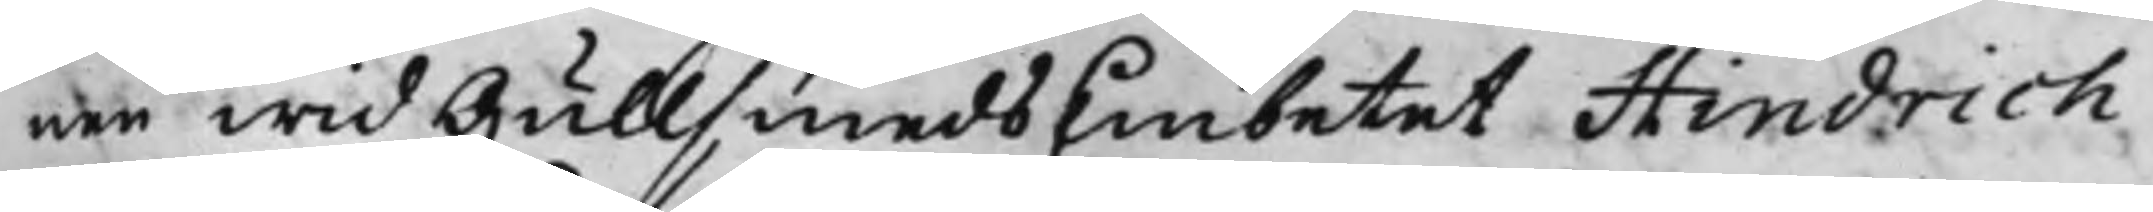nen wid GullsmedsEmbetet Hindrich
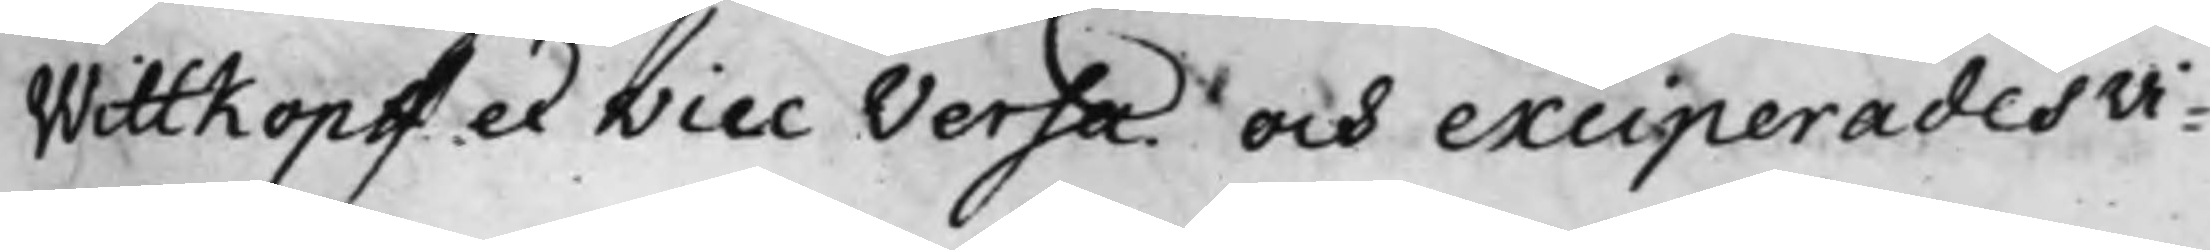Wittkopff et Vice Versa. och exciperades vi¬
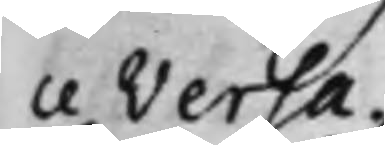ce Versa.
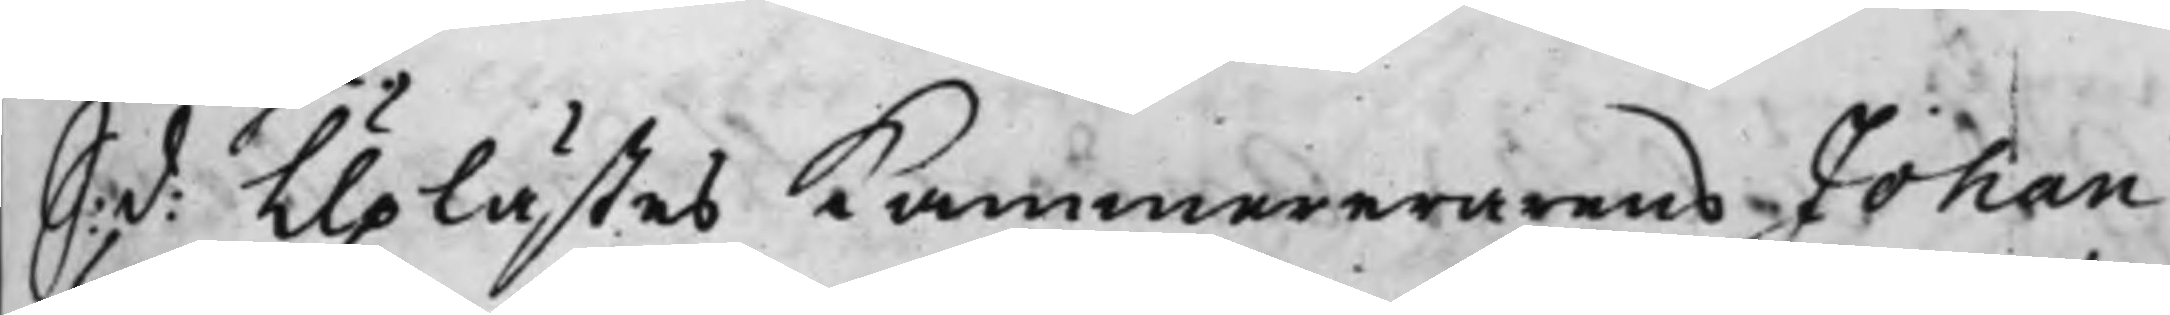S: d: Uplästes Kammererarens Johan
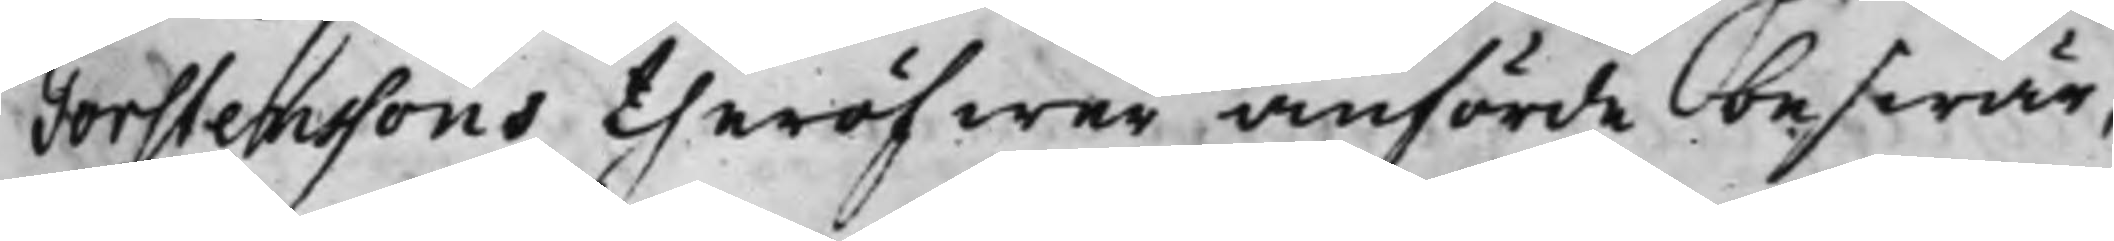Torstenssons theröfwer anförde beswär,
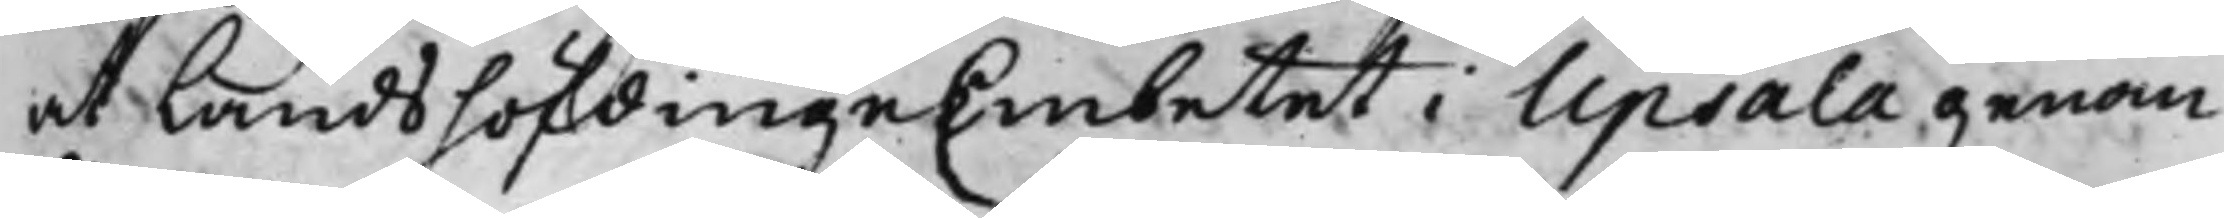at LandshöfdingeEmbetet i Upsala genom
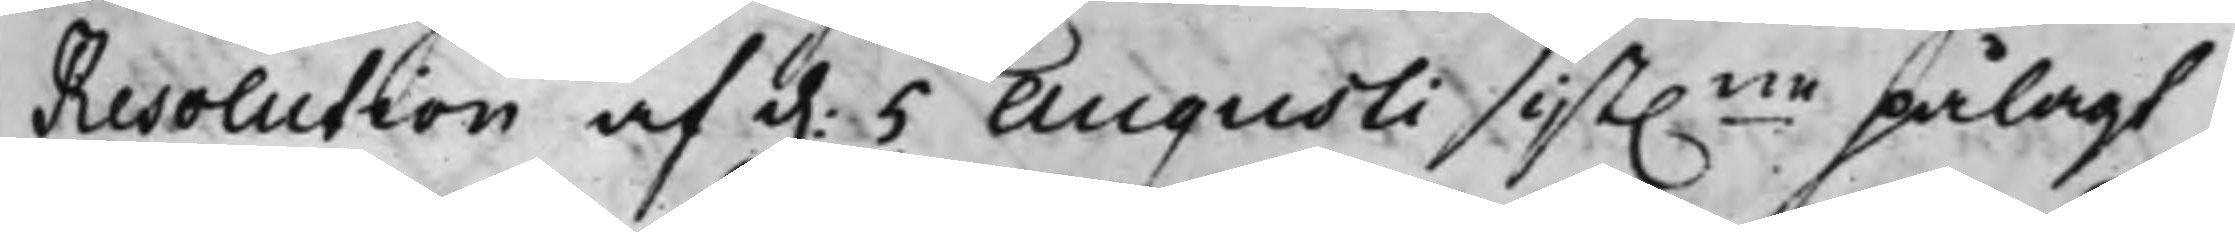Resolution af d. 5 Augusti sist.ne pålagt
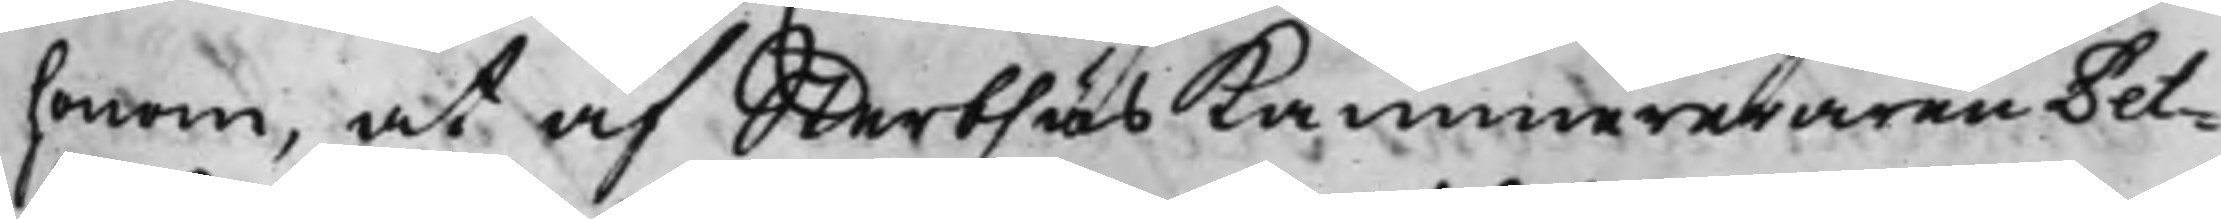honom, at af Sterbhus kammereraren Pet¬
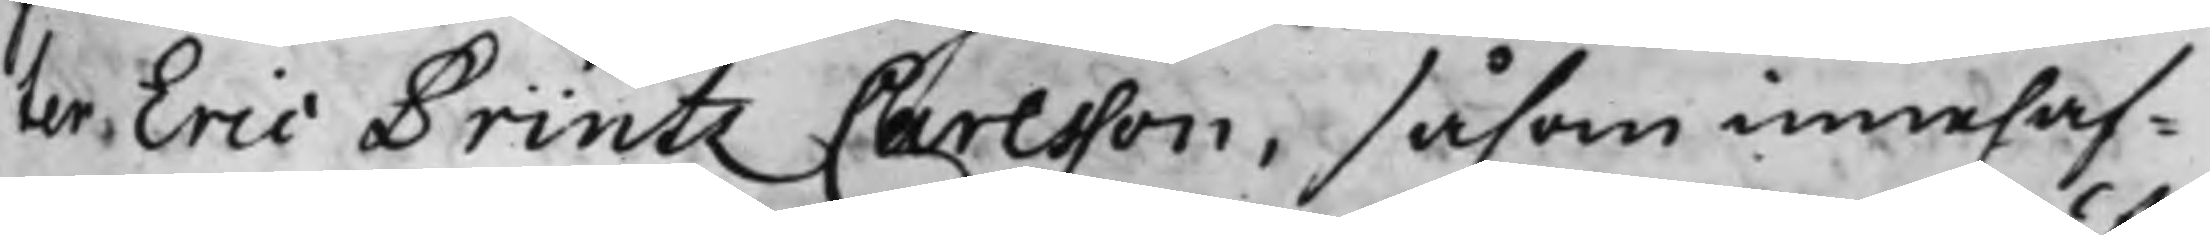ter Eric Printz Carlsson, såsom innehaf¬
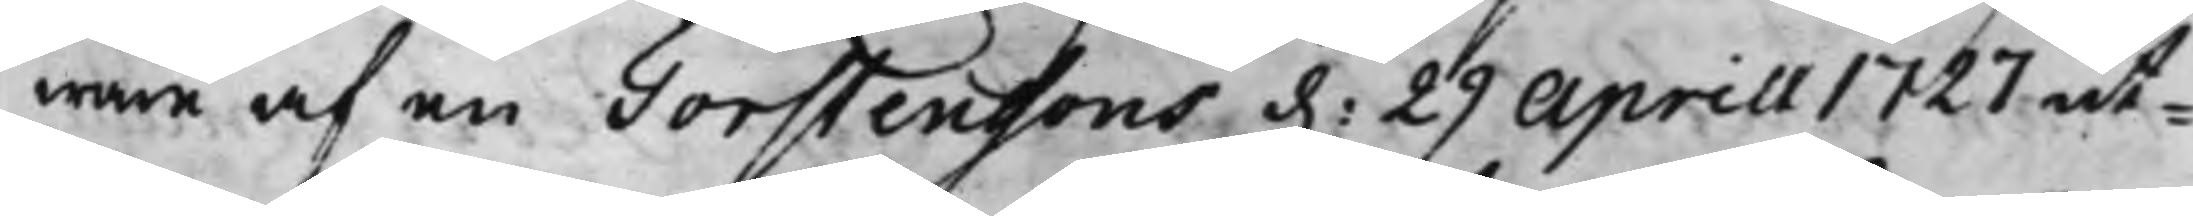ware af en Torstenssons d. 29 Aprill 1727 ut¬
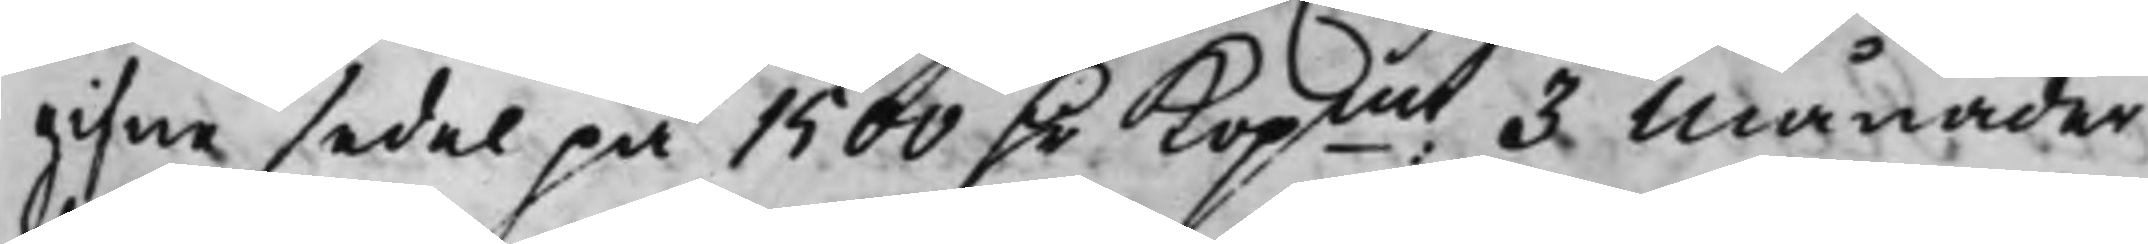gifne sedel på 1500 D.r Kopmt 3 Månader
